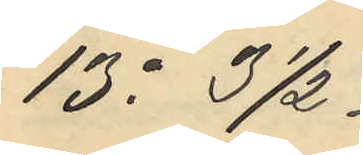13o 31/2.
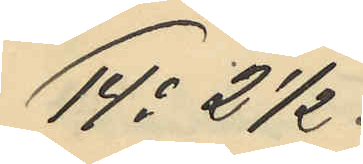14o 21/2.
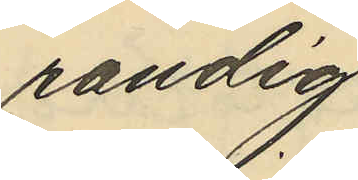randig
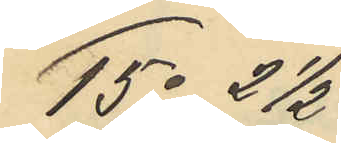15o 21/2
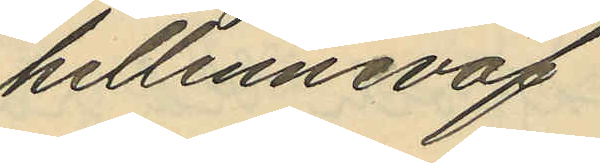hellinneväf
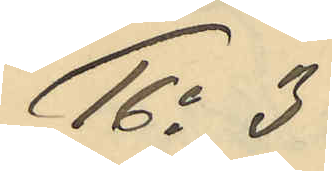16o 3
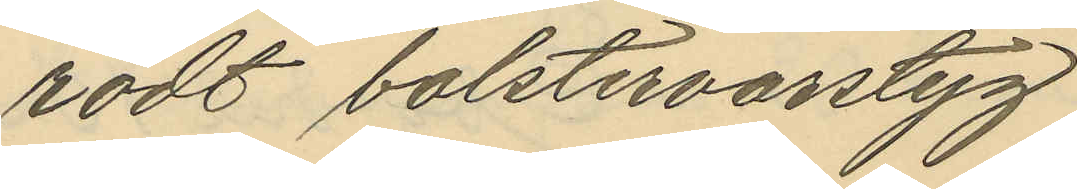rödt bolstervarstyg
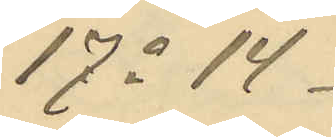17o 14
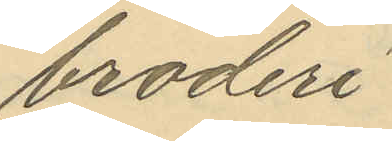broderi
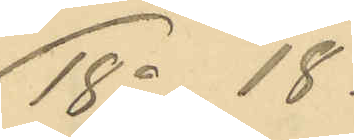18o 18
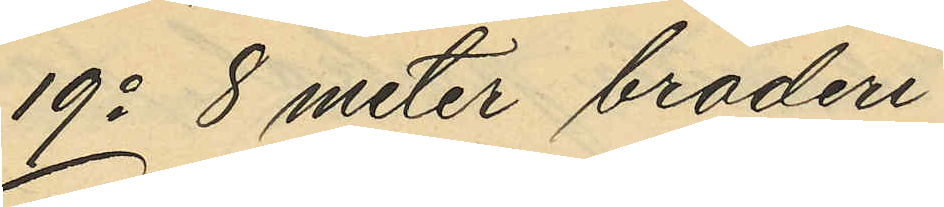19o 8 meter broderi
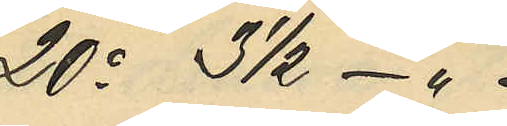20o 31/2 - "
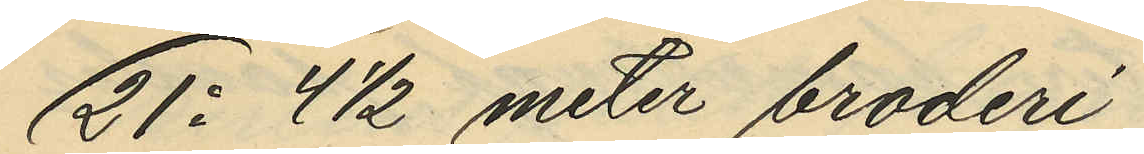21o 41/2 meter broderi
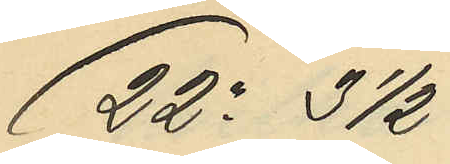22o 31/2
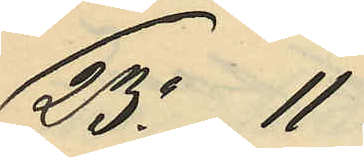23o 11
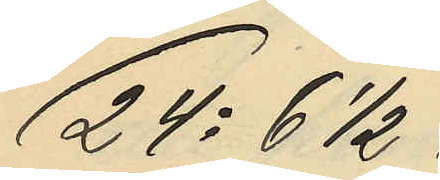24o 6 1/2
